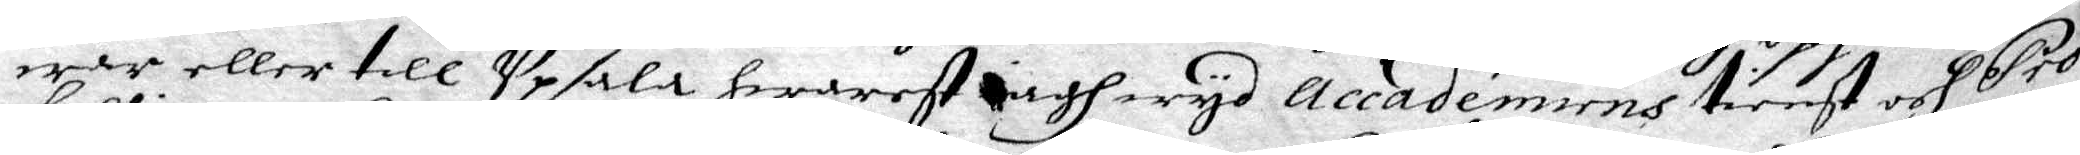war eller till Upsala hwarest iagh wyo accademiens tienst och Pro¬
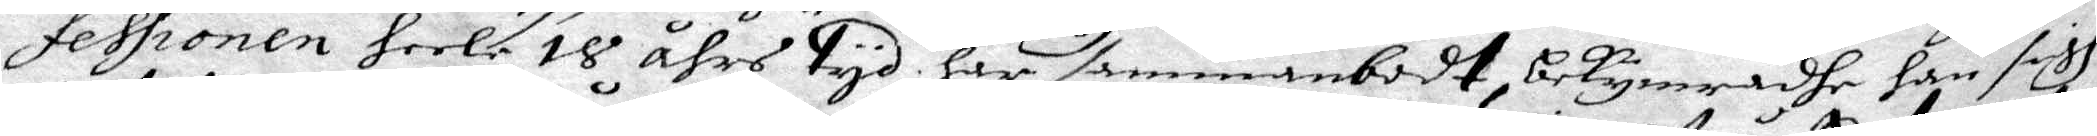fessionen heela 18 åhrs tyd har sammanbodt, bekymradhe han sigh
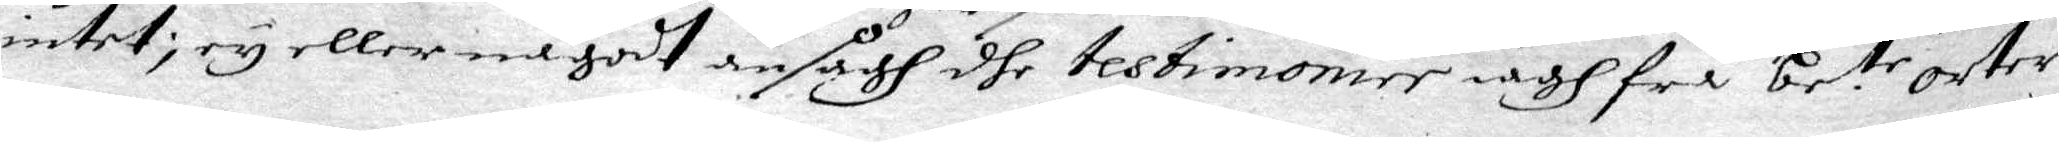intet; ey eller någodt ansågh dhe testimonier iagh frå be:te orter
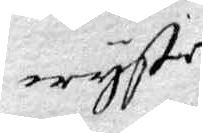wyste
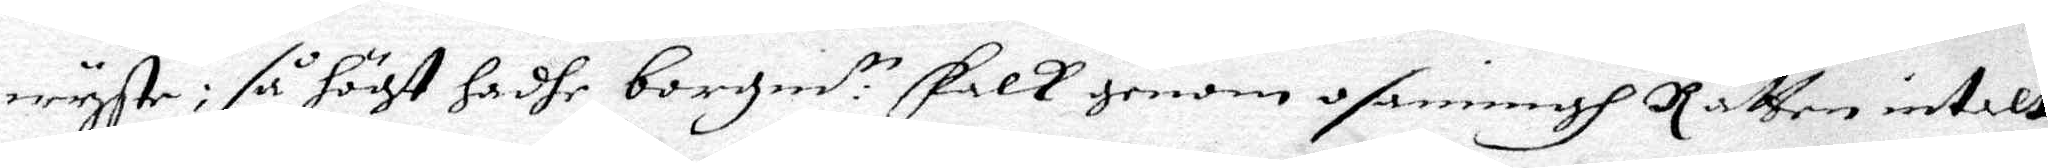wyste: så högt hadhe borgm:te Falk genom osanningh Rätten intalt.
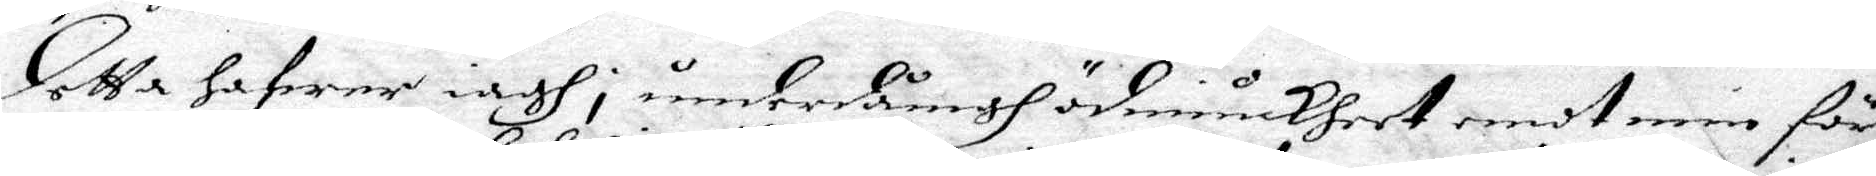Detta hafwer iagh i underdånigh ödmiukheet emot min för¬
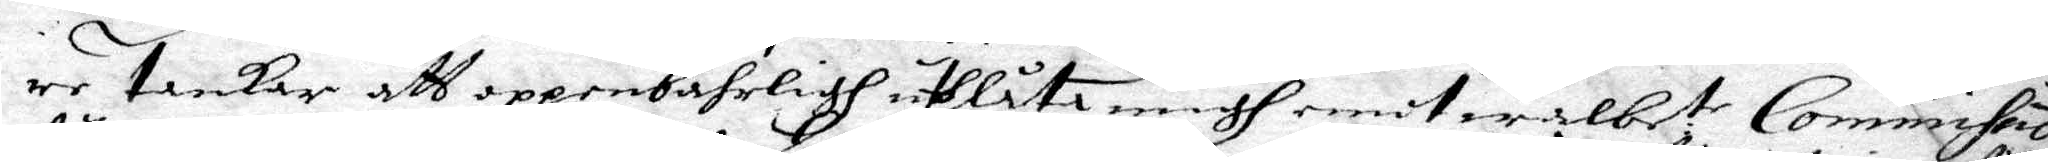re tankar att oppenbahrligh ulåta migh emot wälbe.te Commisso
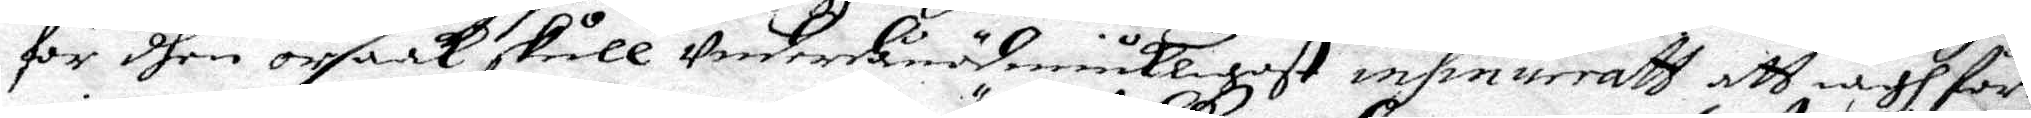för dhen orsaak skull Underdånödmiukligast insinueratt att iagh för¬
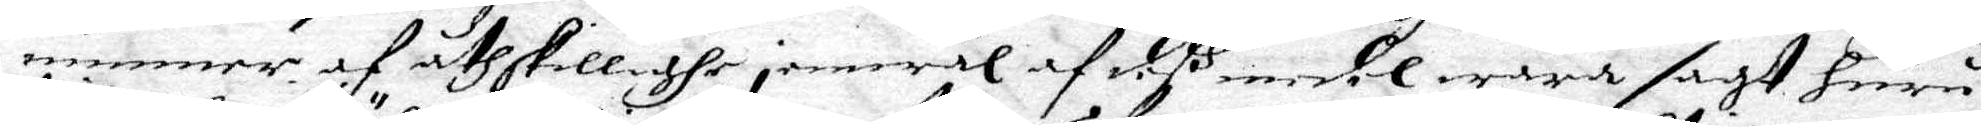ninner af åthskillighe jemwäl af deß medel wara sagt huru
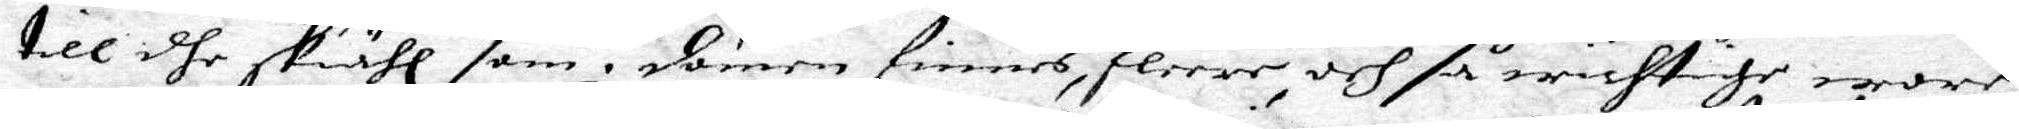till dhe skiähl som i domen finnes, fleere och så wichtige wore
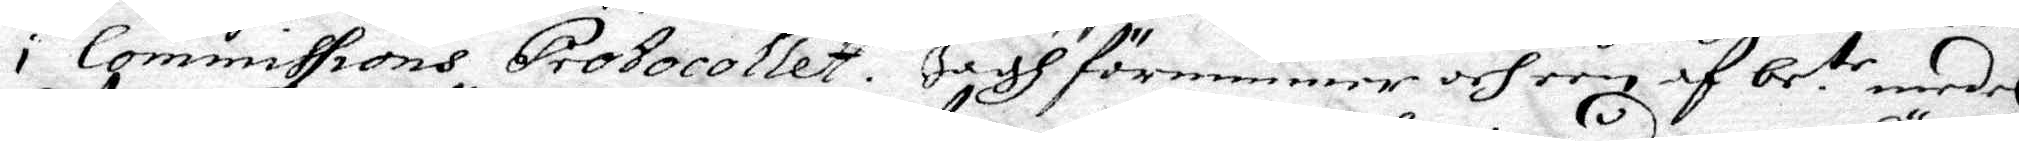i Commissions Protocollet. Jagh förnimmer och een af be:te medel
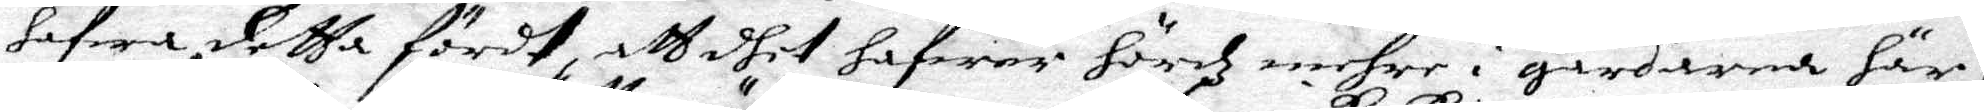hafwa detta fördt, att dhet hafwer hördz mehre i gårdarna här i
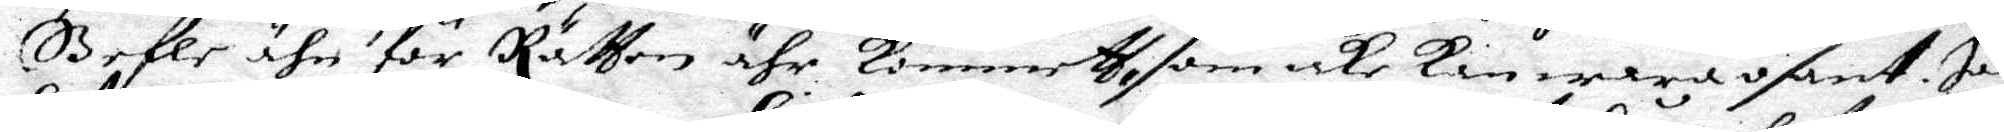Gefle ähn för Rätten ähr kommett, som icke kan wara osant. Jag
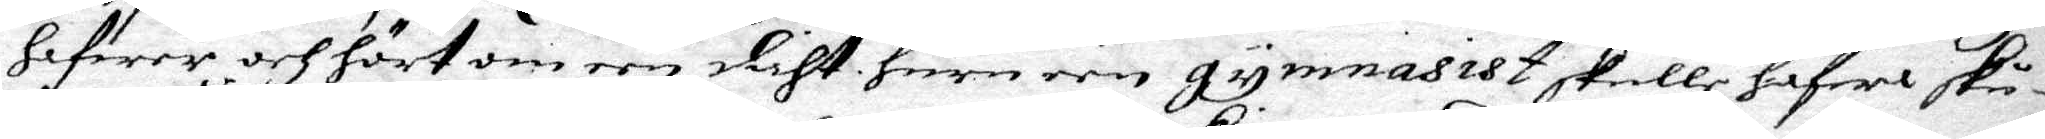hafwer och hört om een dicht huru een gymnasist skulle hafwa skru¬
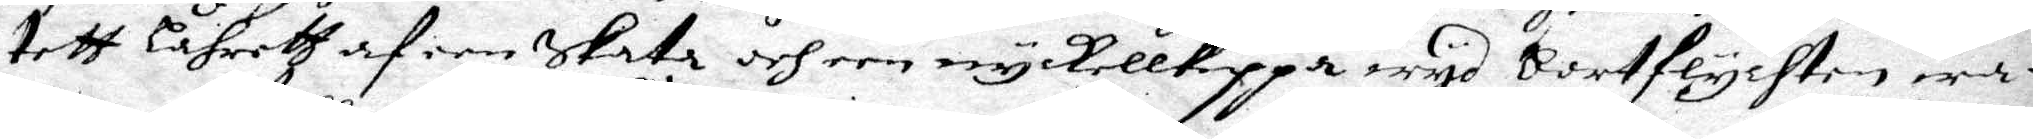tett lährett af een Skata och een nyckellkippa wyd bortflychten wa¬
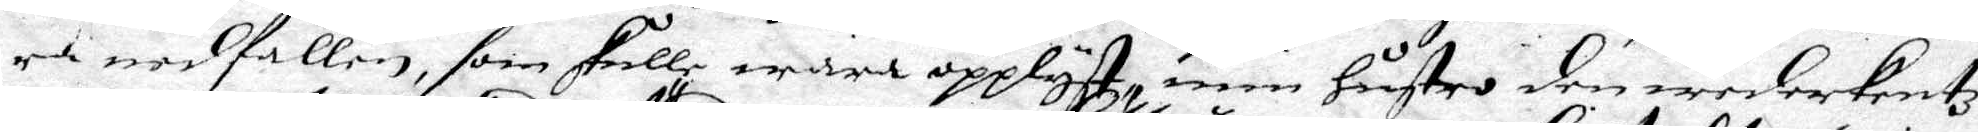ra nedfallen, som skulle wara opplyst, min hustru den wederkentz
